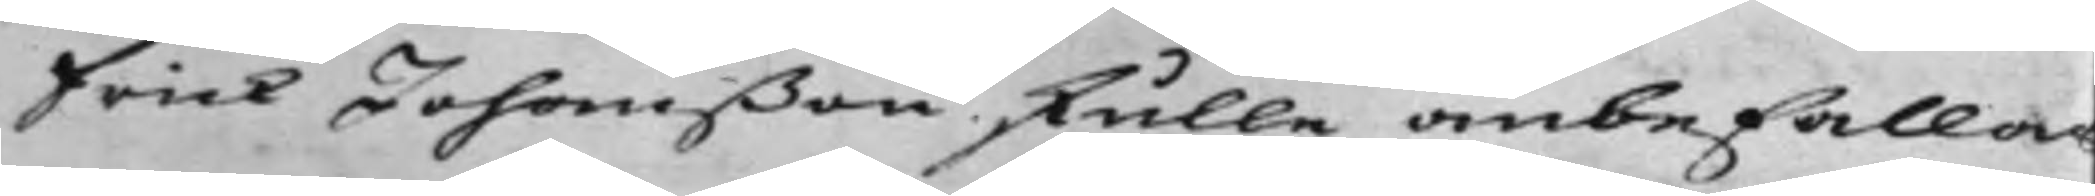Erick Johanßon skulle anbefallas
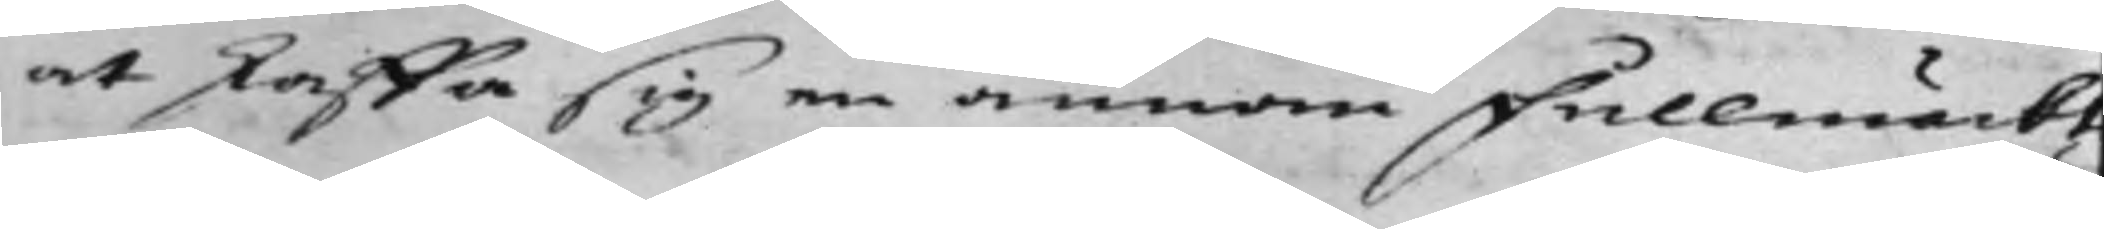at skaffa sig en annan Fullmäckt
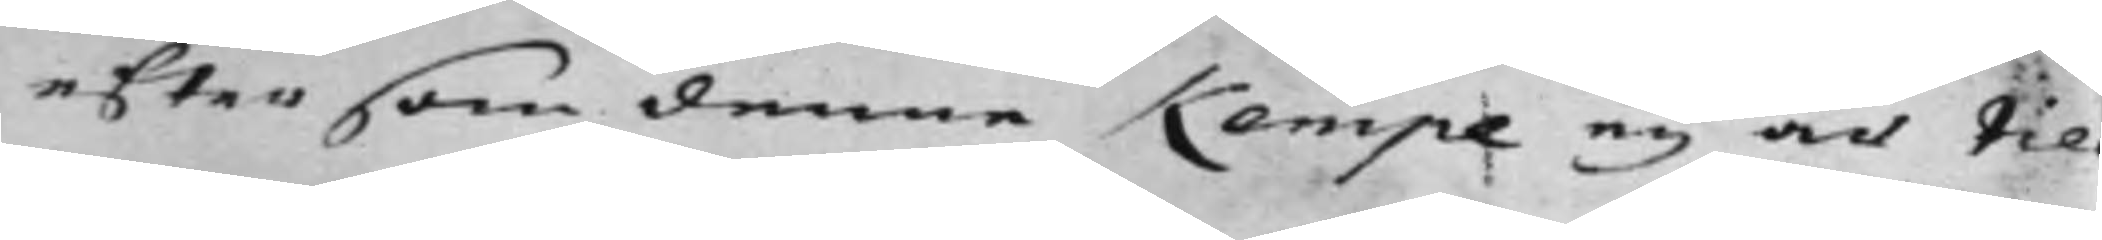eftersom denne Kempe ey är til
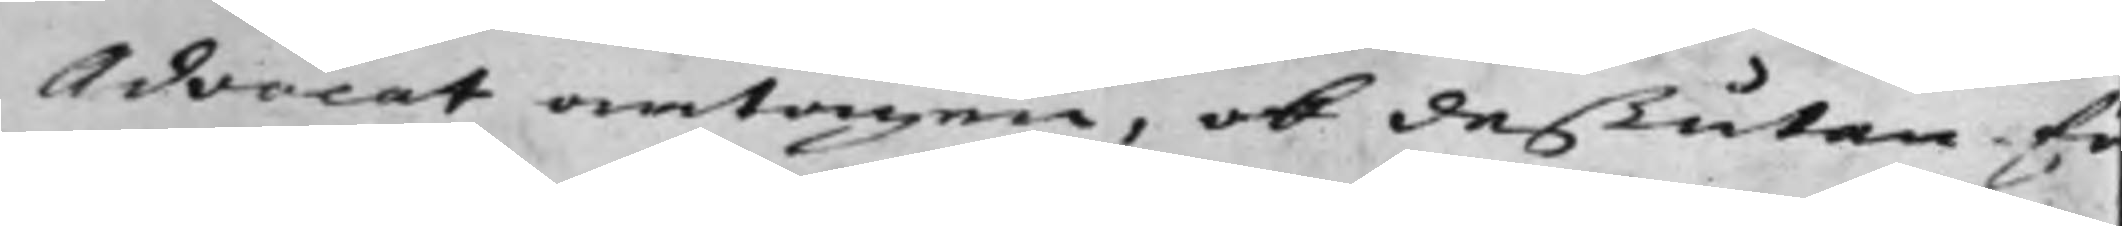Advocat antagen, ok deßutan fö
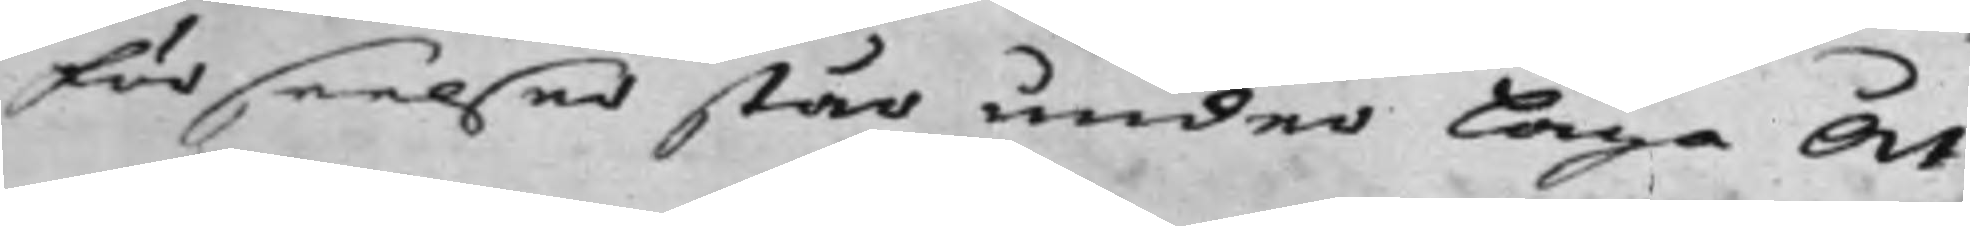förseelser står under Laga Åt
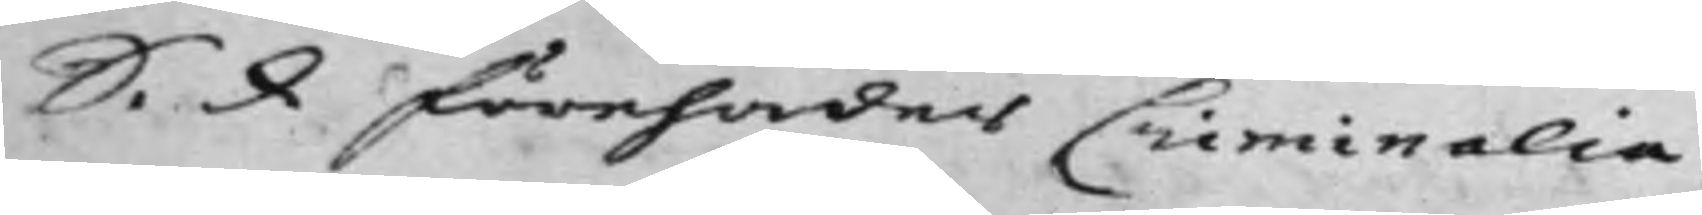S. d. förehades Criminalia,
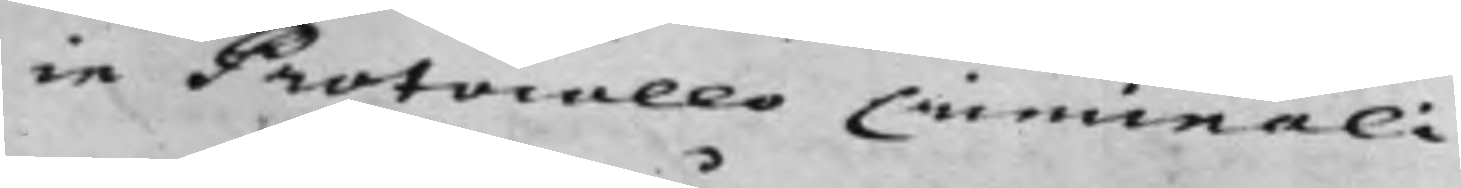in Protocollo Criminali.
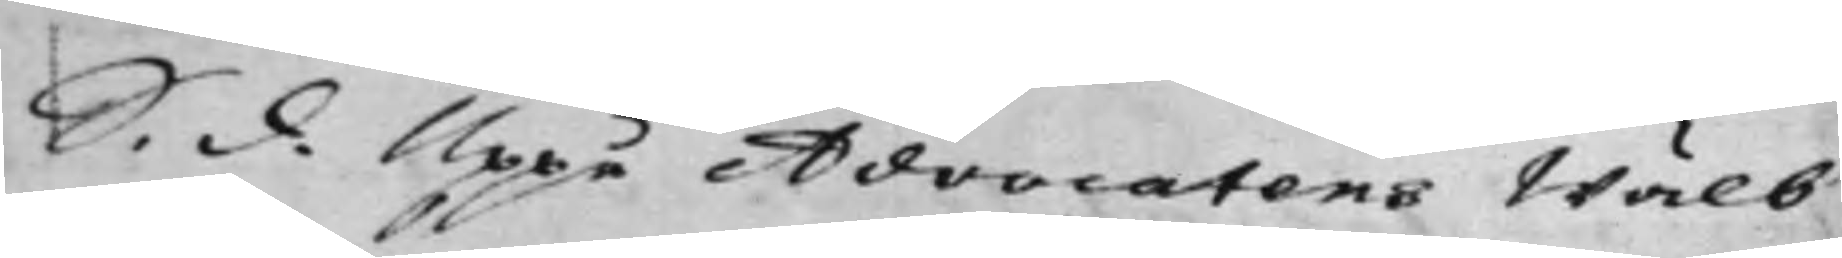S. d. Uppå Advocatens Wälb
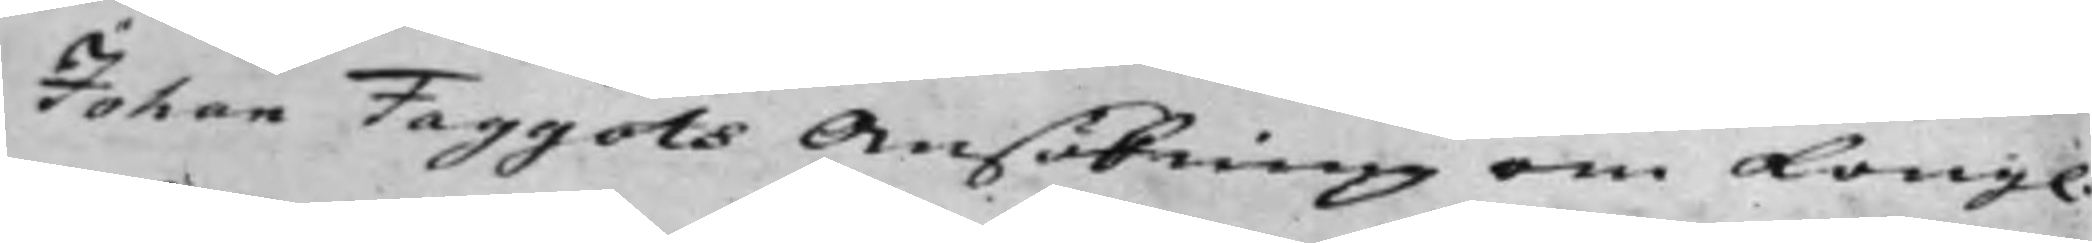Johan Faggots Ansökning om Kong.
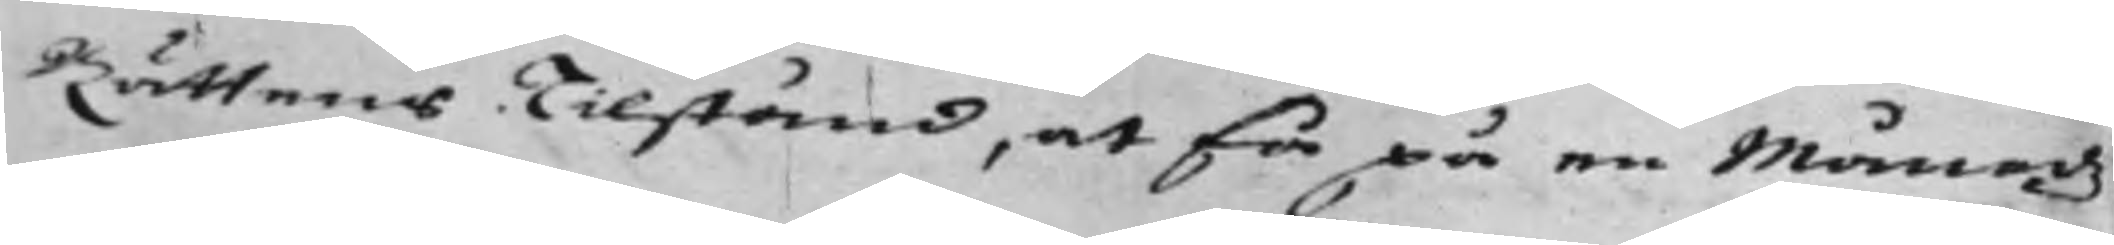Rättens Tilstånd, at få på en Månadz
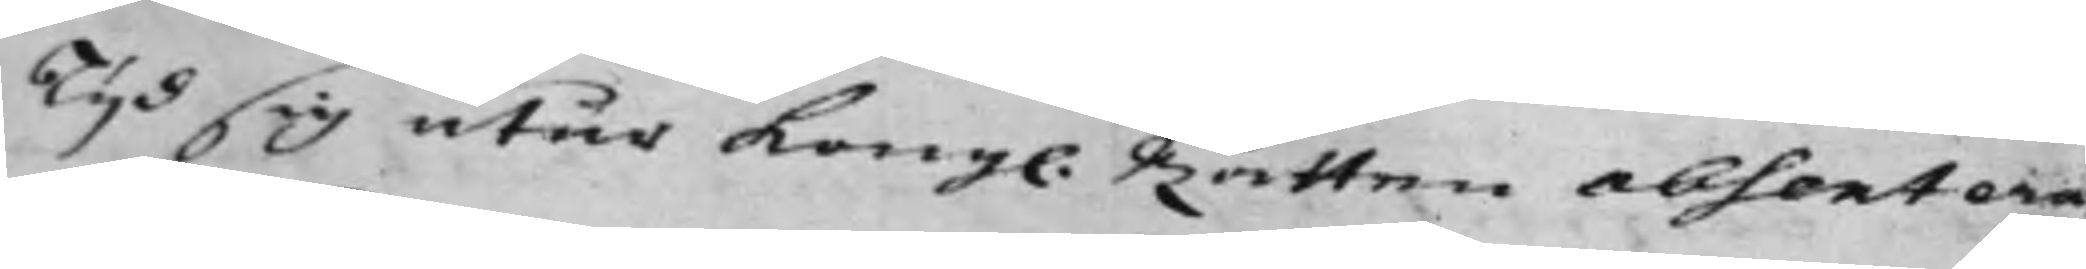Tijd sig utur Kong. Rätten absentera
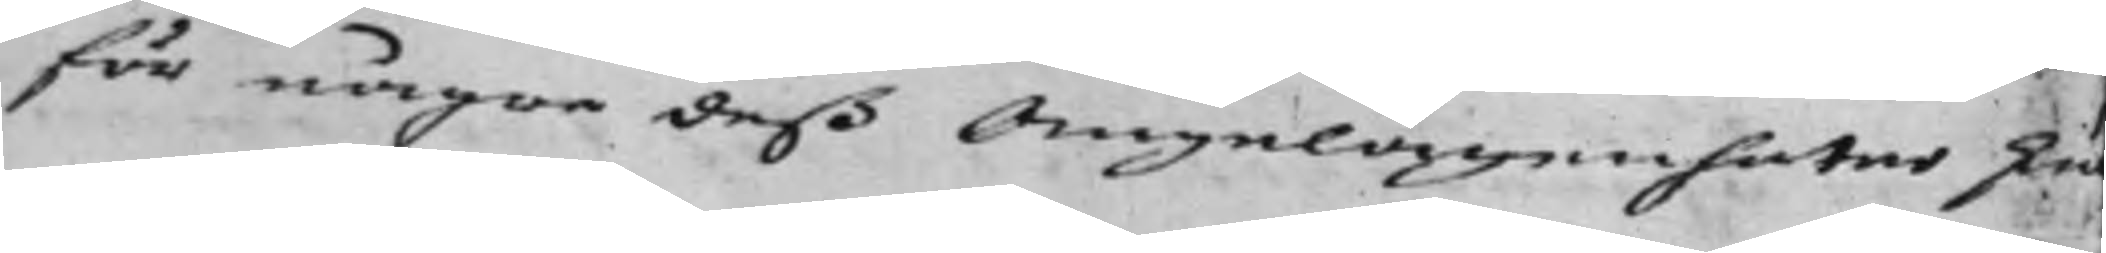för några deß Angelägenheter sku
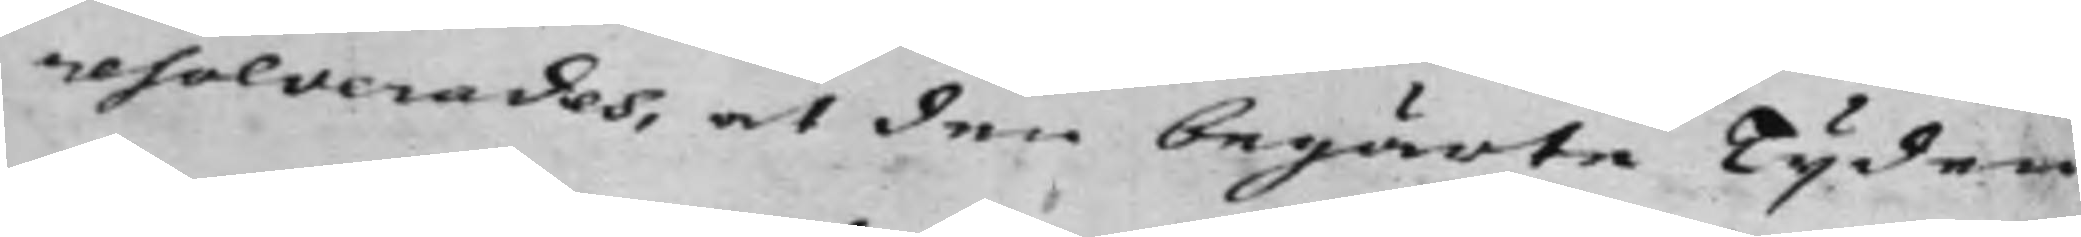resolverades, at den begärte Tijden
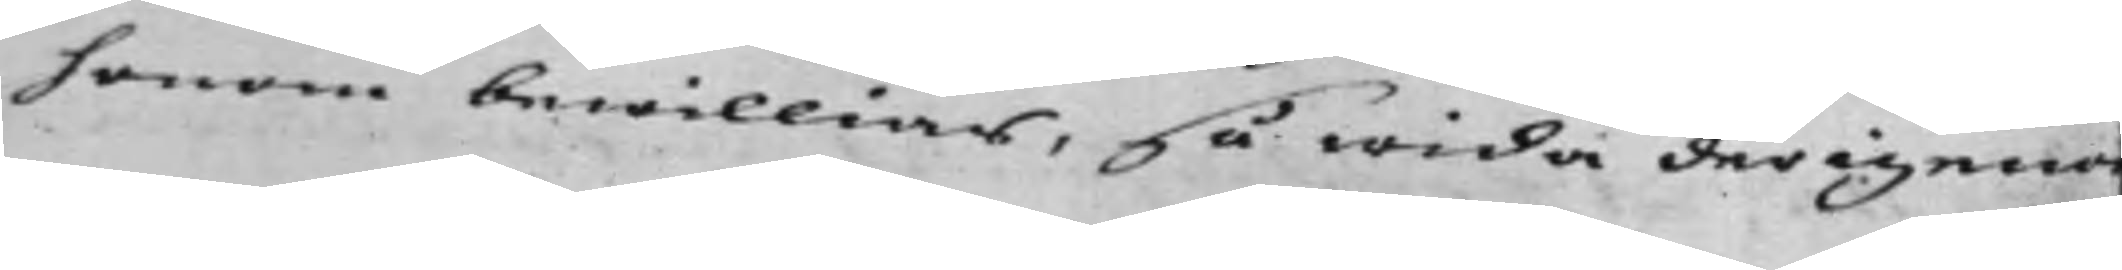honom bewillias, så wida derigenom
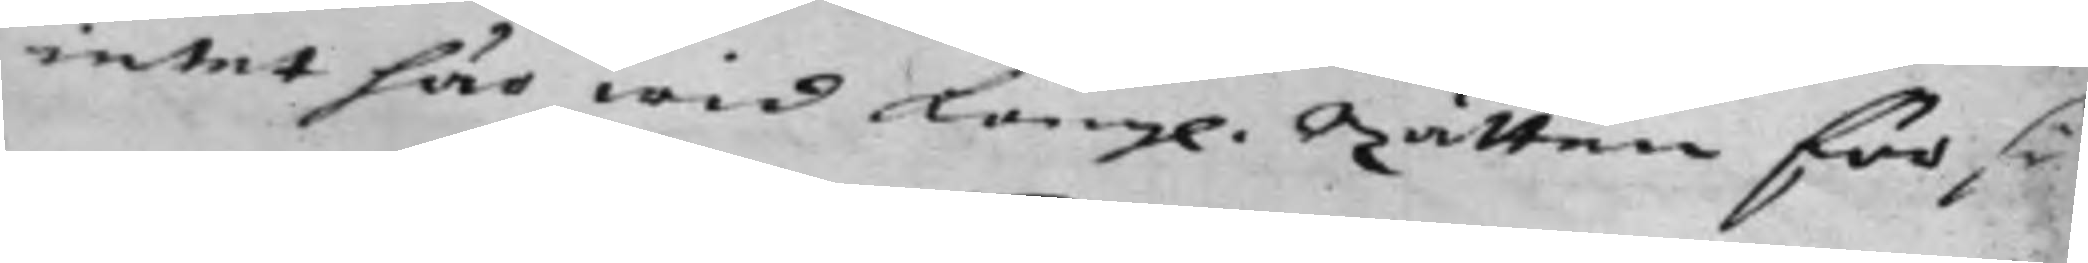intet här wid Kongl. Rätten försu
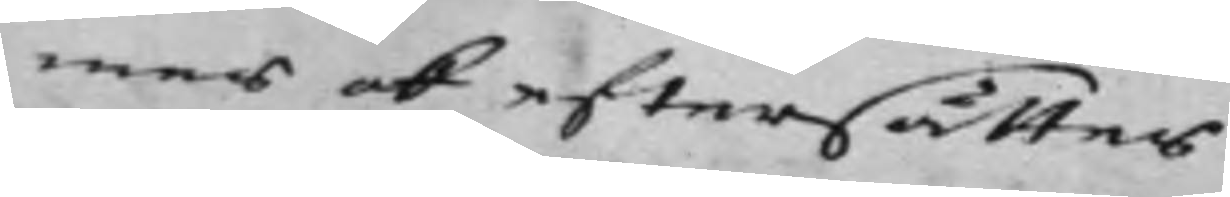mas ok eftersättas.
